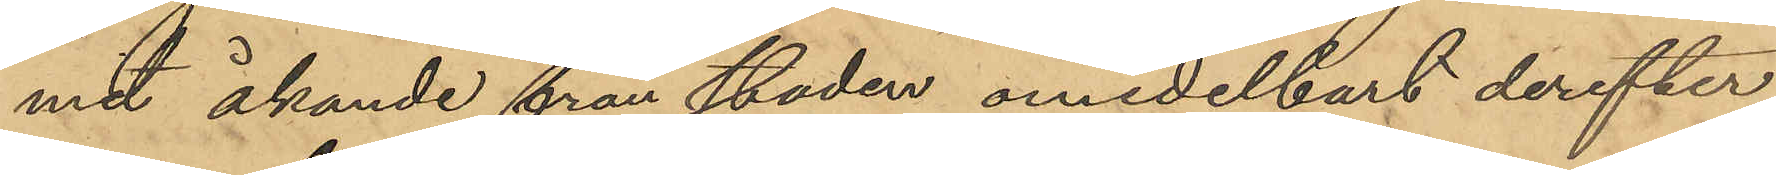mit åkande från staden omedelbart derefter
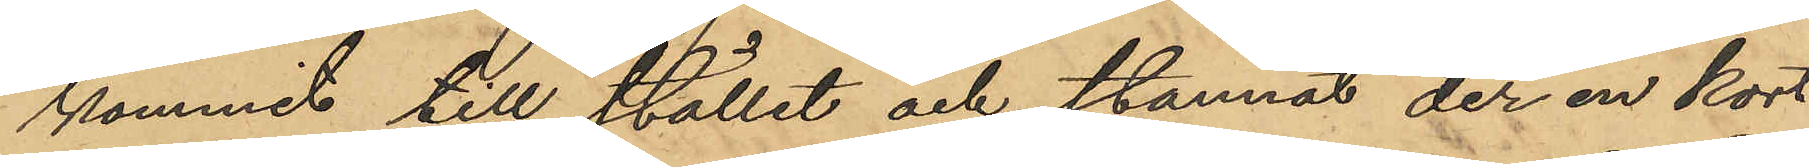kommit till stället och stannat der en kort
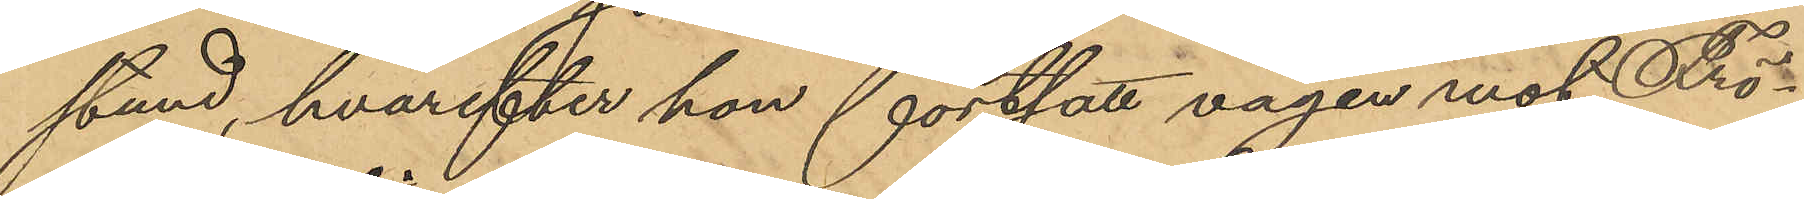stund, hvarefter hon fortsatt vägen mot Frö¬
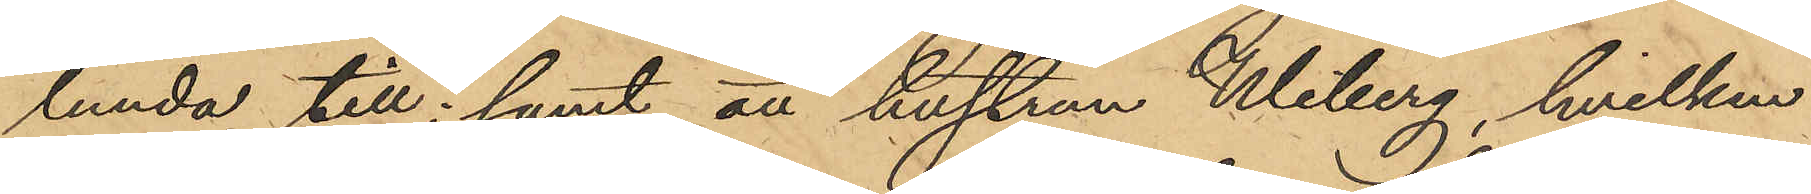lunda till; samt att hustrun Wiberg, hvilken
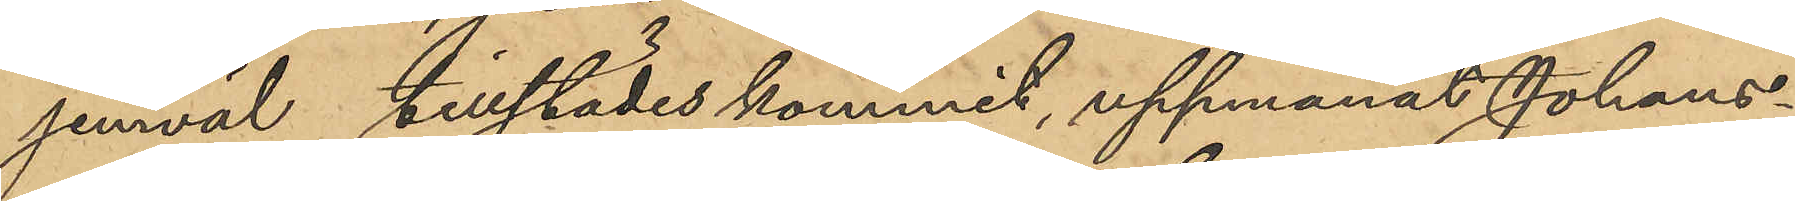jemväl tillstädeskommit, uppmanat Johans¬
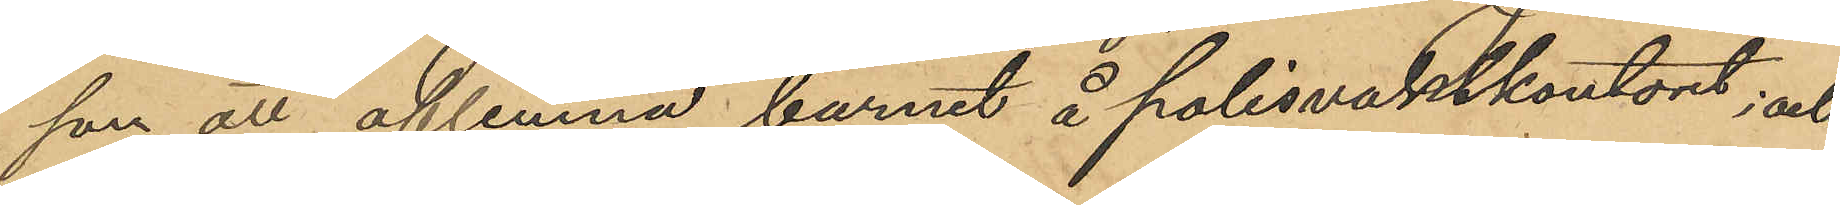son att aflemna barnet å polisvaktkontoret; och
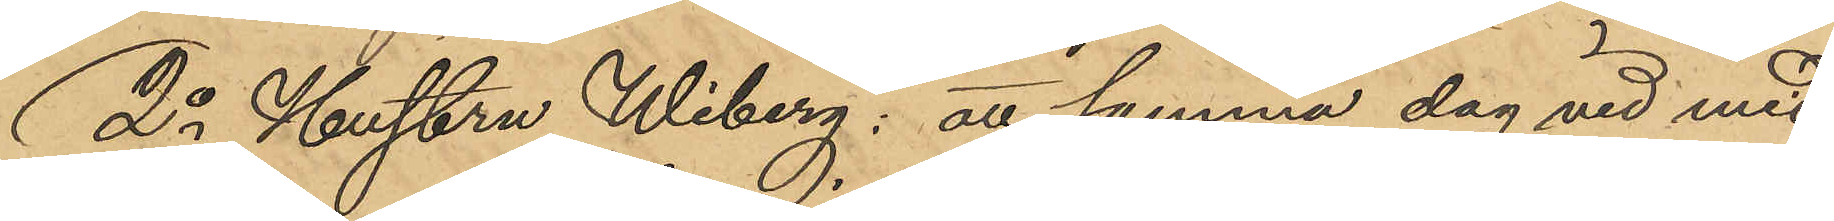2o Hustru Wiberg; att samma dag vid mid¬
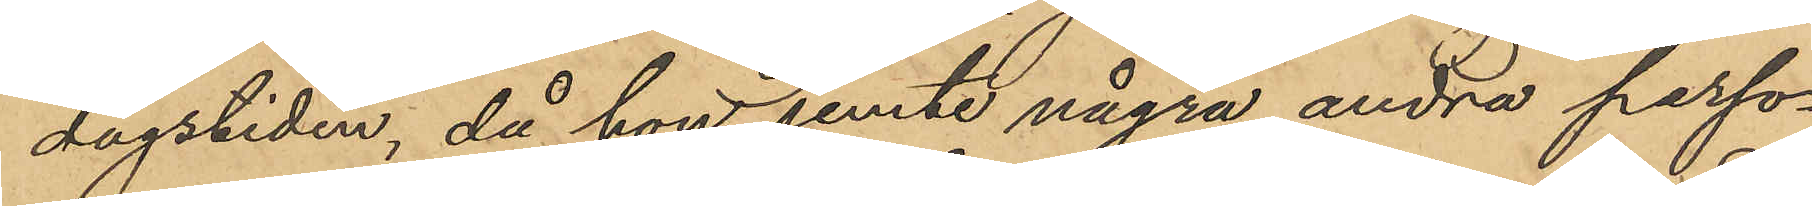dagstiden, då hon jemte några andra perso¬
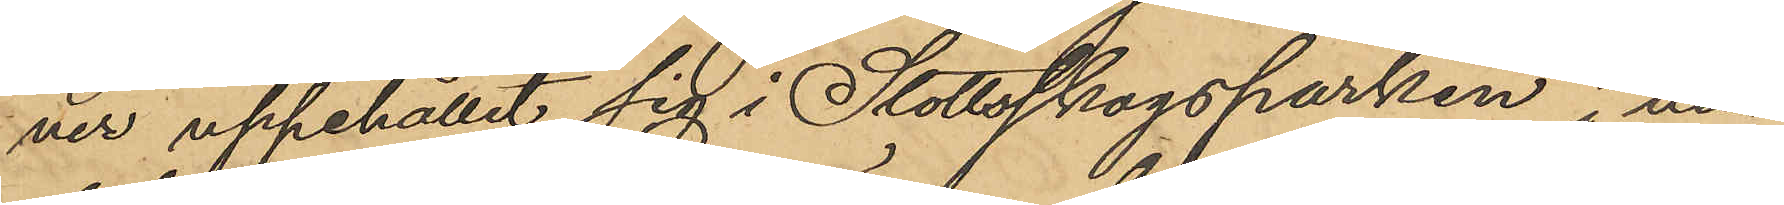ner uppehållit sig i Slottsskogsparken i när¬
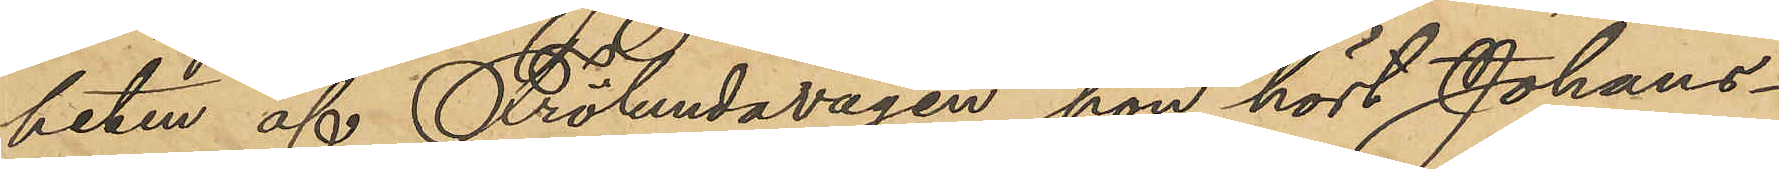heten af Frölundavägen, hon hört Johans¬
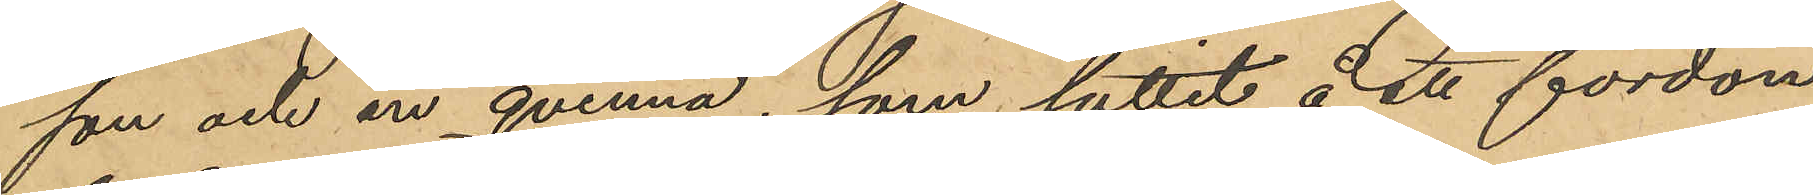son och en qvinna, som suttit å ett fordon
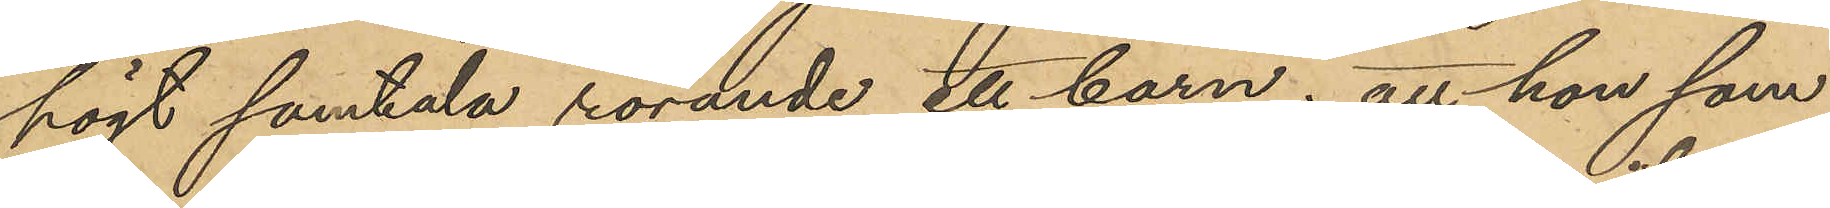högt samtala rörande ett barn; att hon som
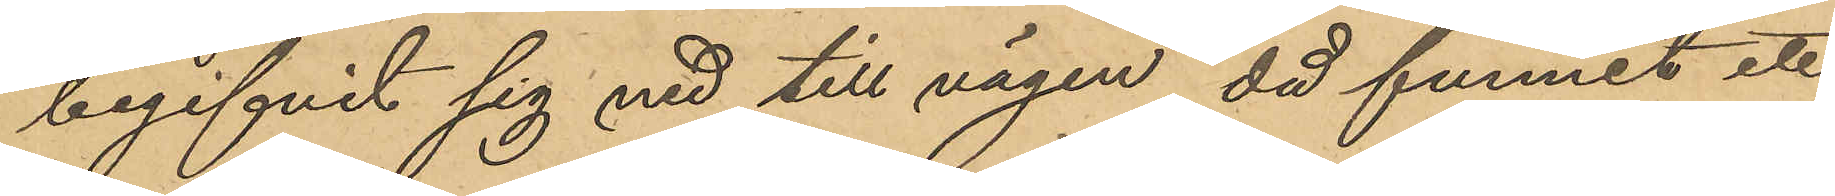begifvit sig ned till vägen, då funnit ett
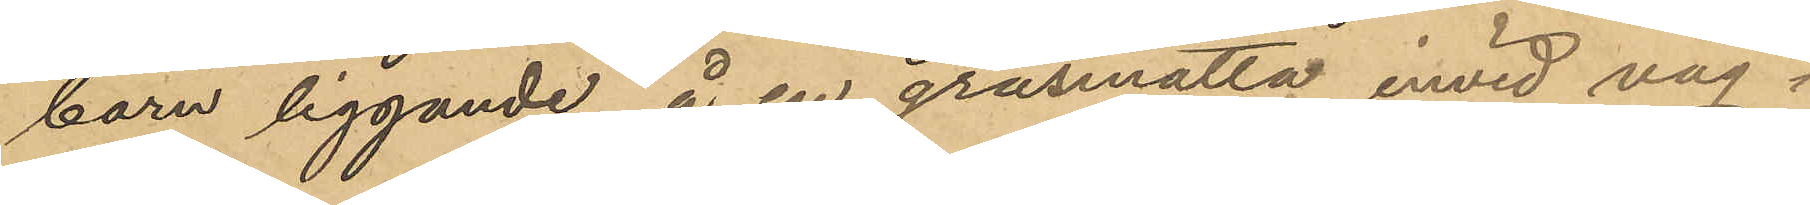barn liggande å en gräsmatta invid väg¬
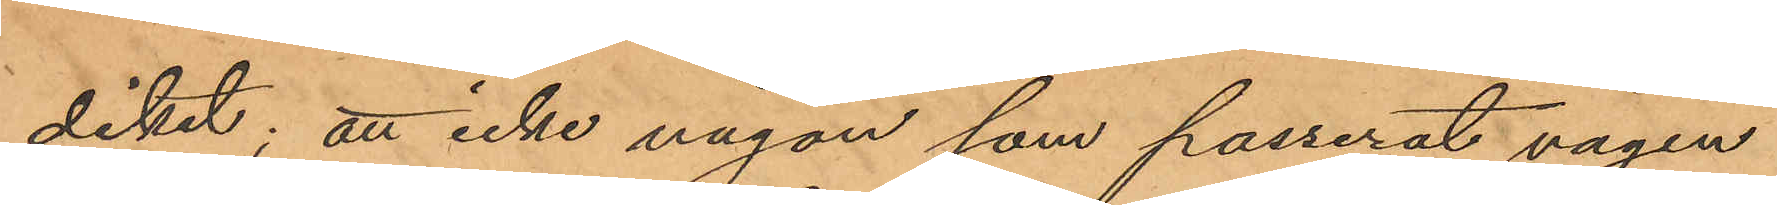diket; att icke någon som passerat vägen
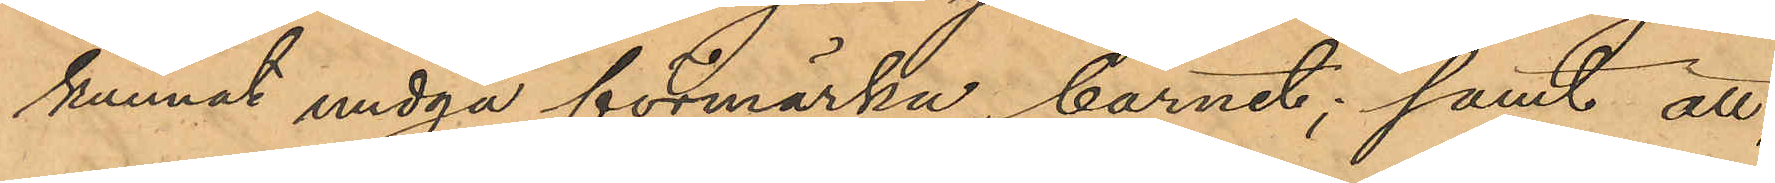kunnat undgå förmärka barnet; samt att,
